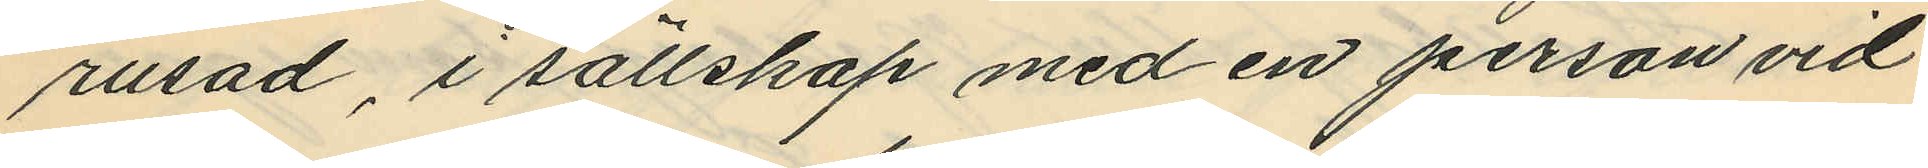rusad, i sällskap med en person vid
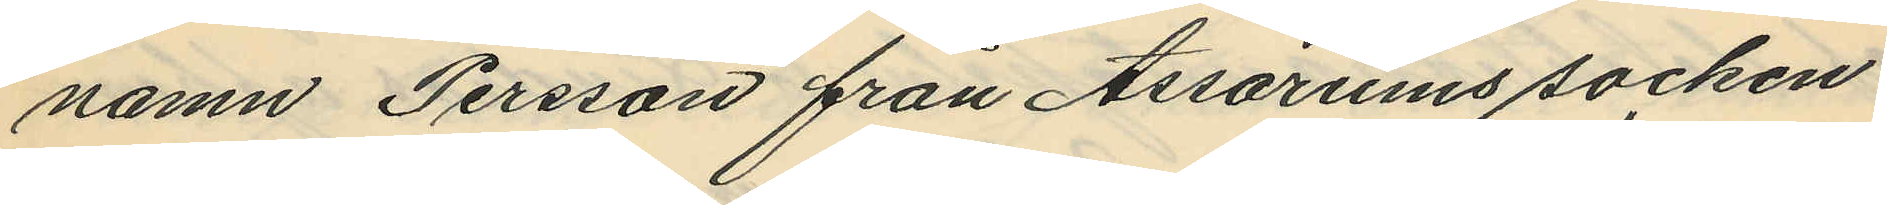namn Persson från Assarums socken
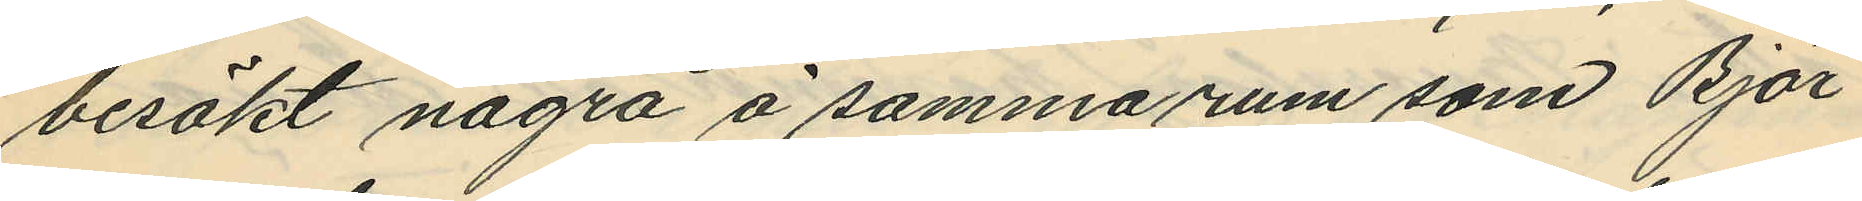besökt några å samma rum som Björ¬
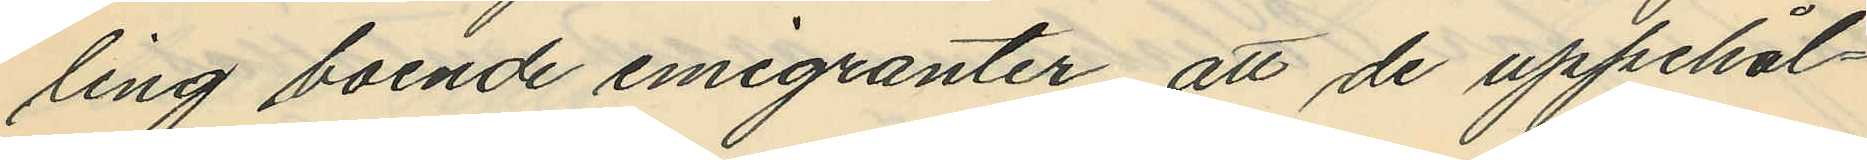ling boende emigranter, att de uppehål¬
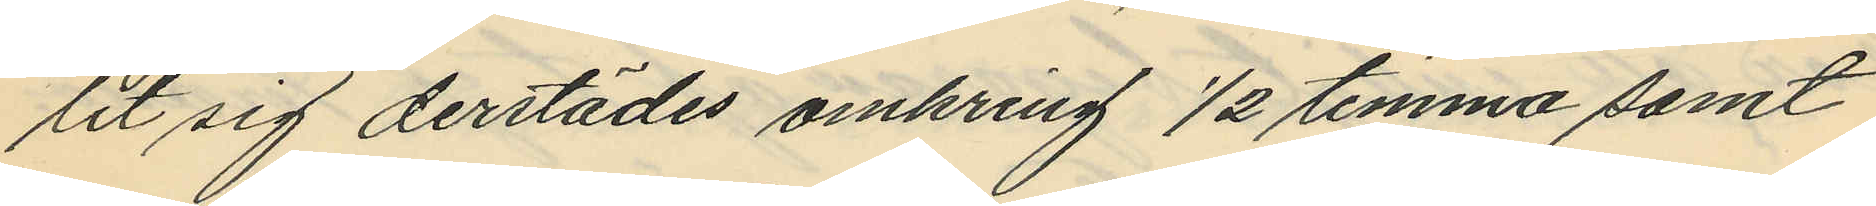lit sig derstädes omkring 1/2 timma samt
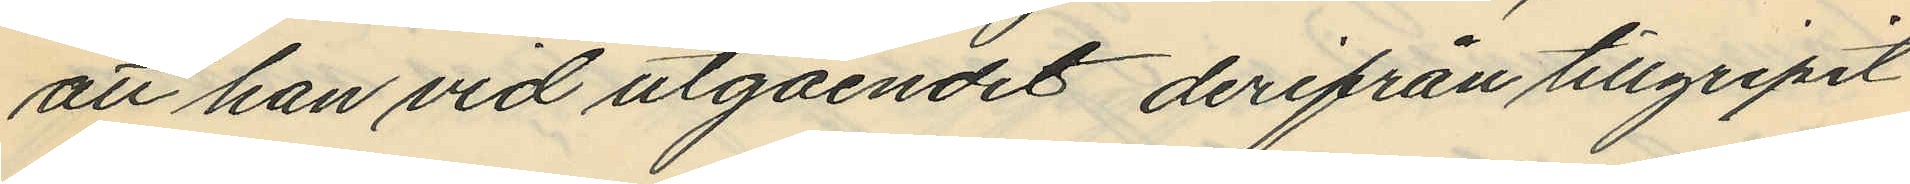att han vid utgåendet derifrån tillgripit
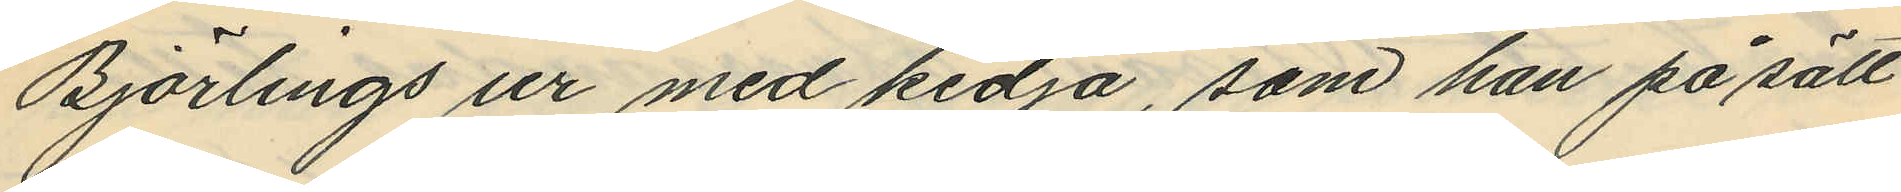Björlings ur med kedja, som han på sätt
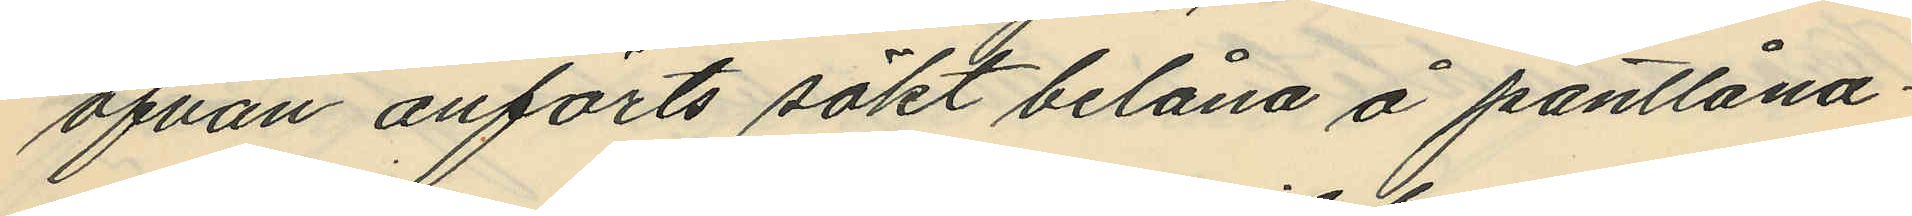ofvan anförts sökt belåna å pantlåna¬
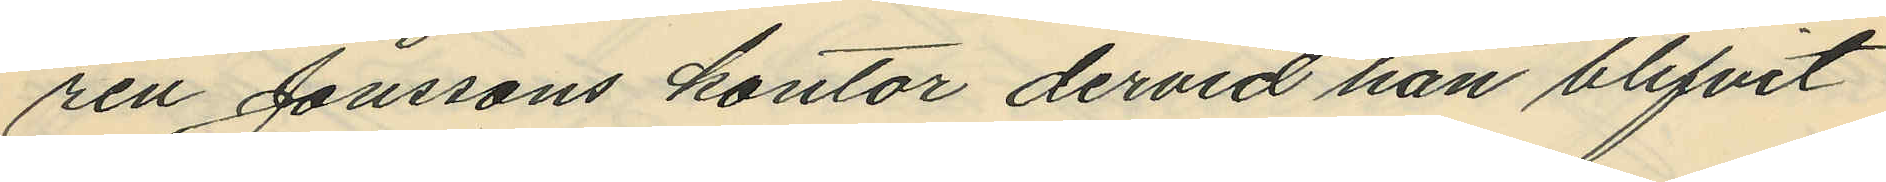ren Jonssons kontor dervid han blifvit
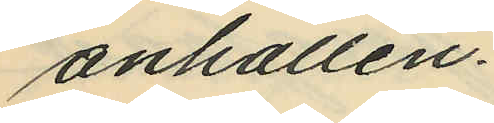anhållen.
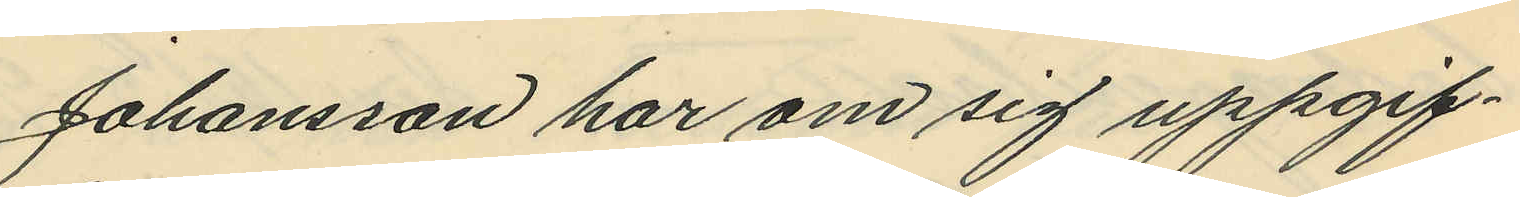Johansson har om sig uppgif¬
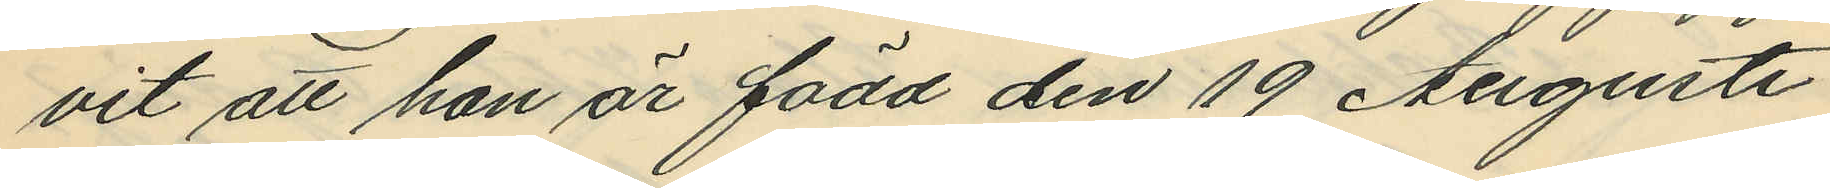vit att han är född den 19 Augusti
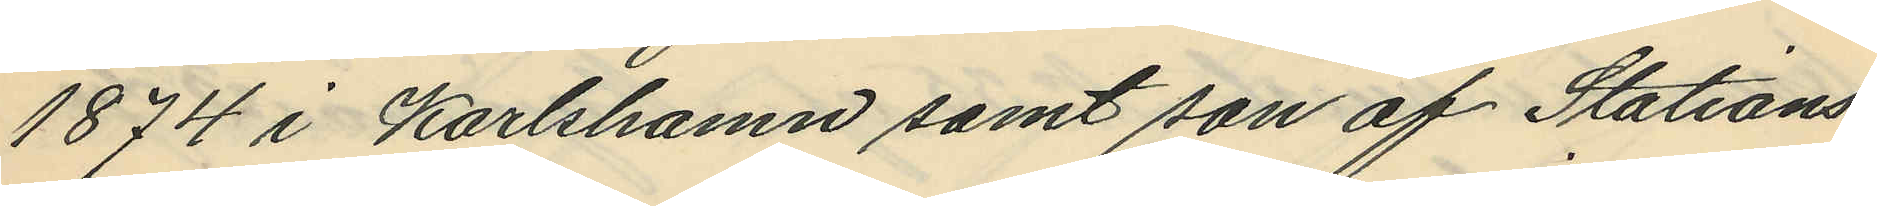1874 i Karlshamn samt son af Stations¬
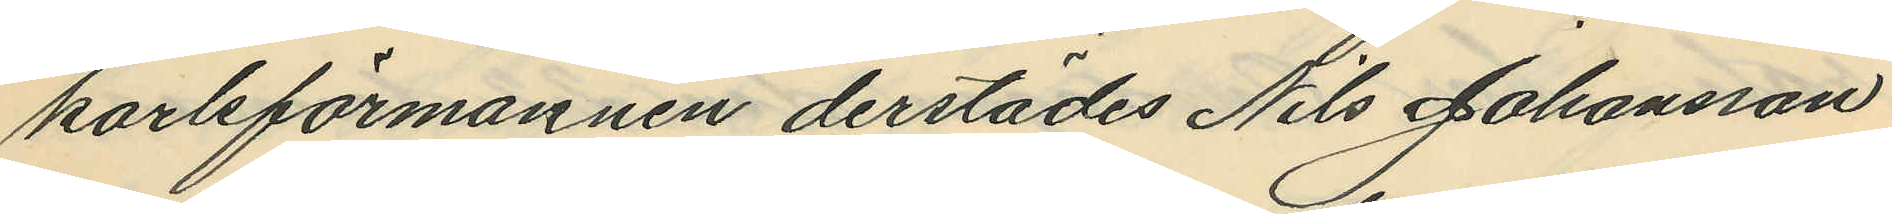karlsförmannen derstädes Nils Johansson
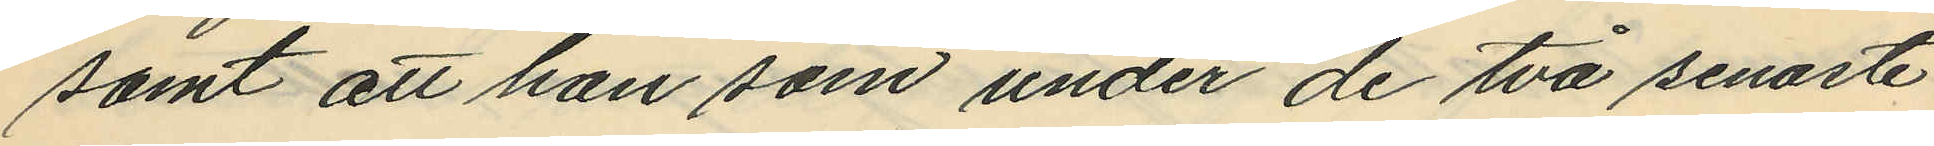samt att han som under de två senaste
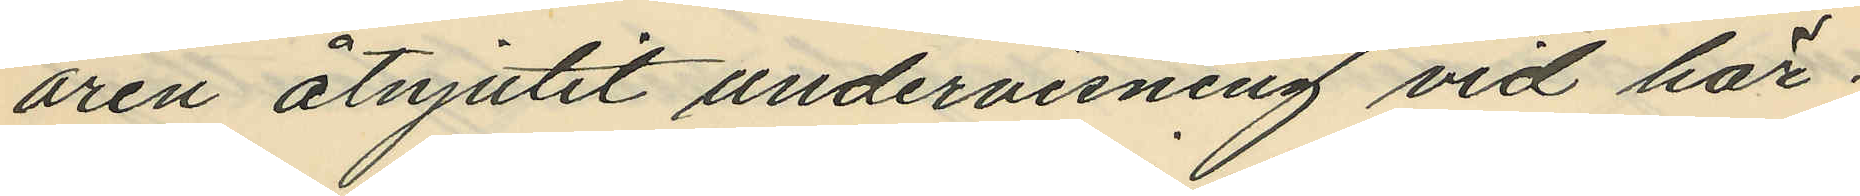åren åtnjutit undervisning vid här¬
